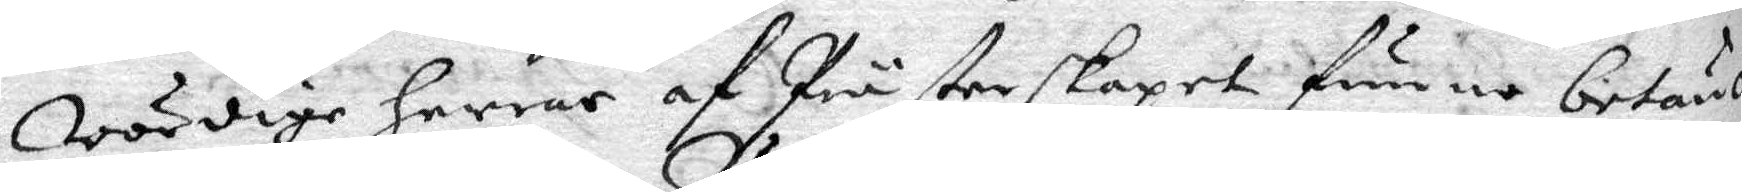wördige herrar af Prästerskapet funno betän¬
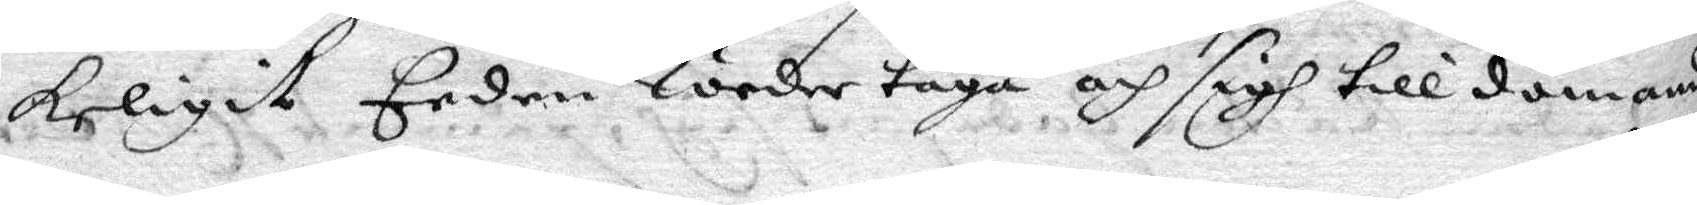keligit Eeden Wedertaga och sigh till dömande
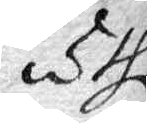uthi
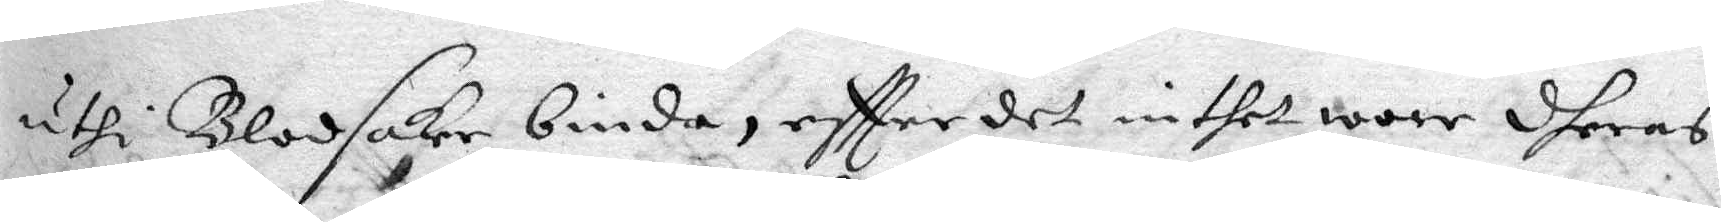uthi Blodsaker binda, eftter det inthet wore dheras
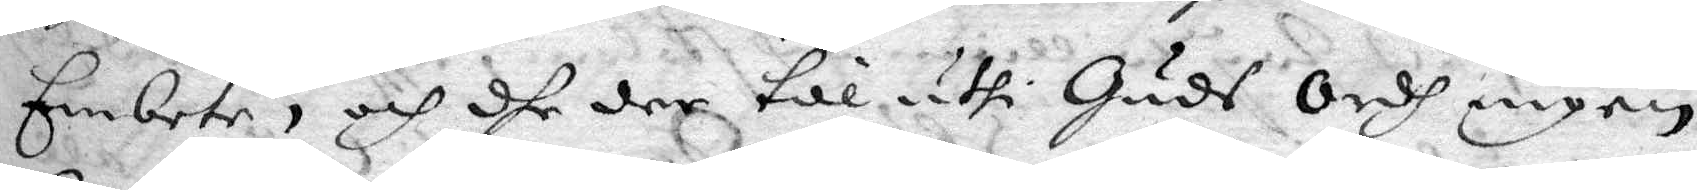Embete, och dhe der till uthi Huds Ordh ingen
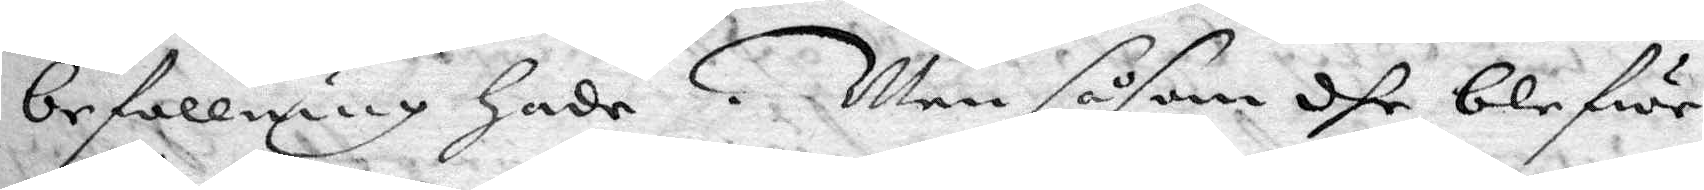befallning hade. Men såsom dhe blefwe
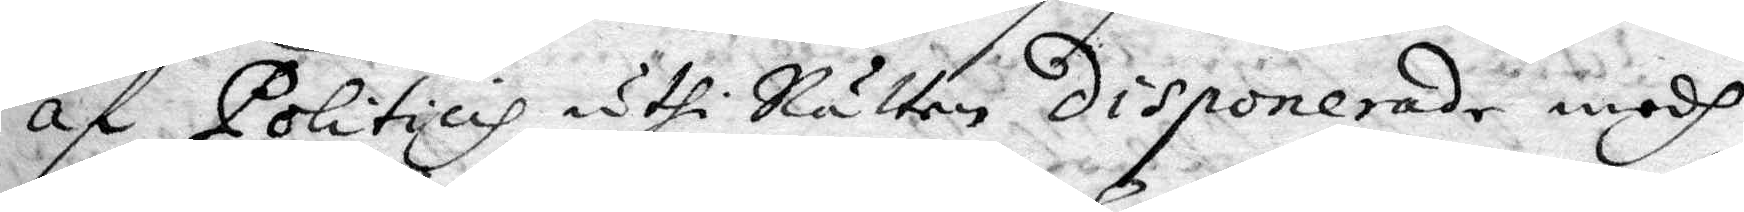af Politicis uthi Rätten disponerade medh
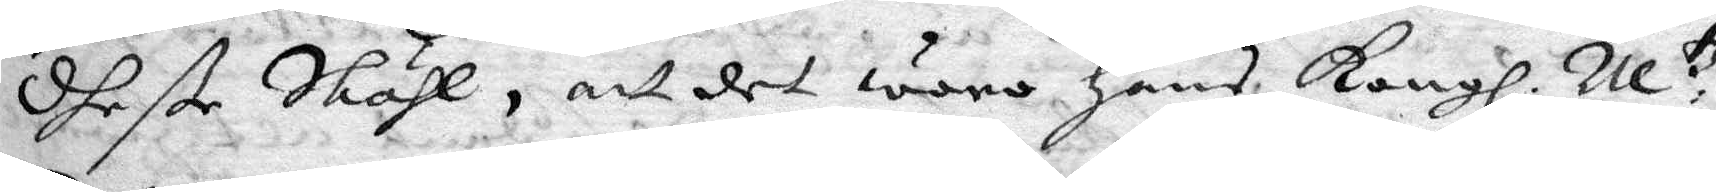dheße Skähl, att det woro hans Kongl. M.tz
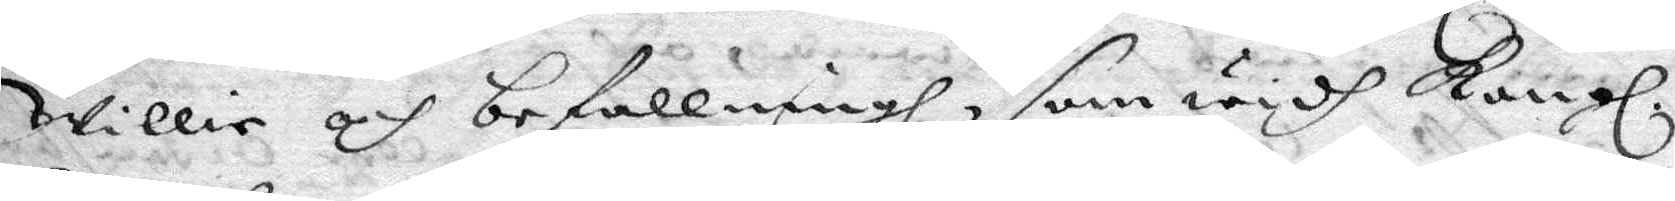Willie och befallningh, som widh Kongl.
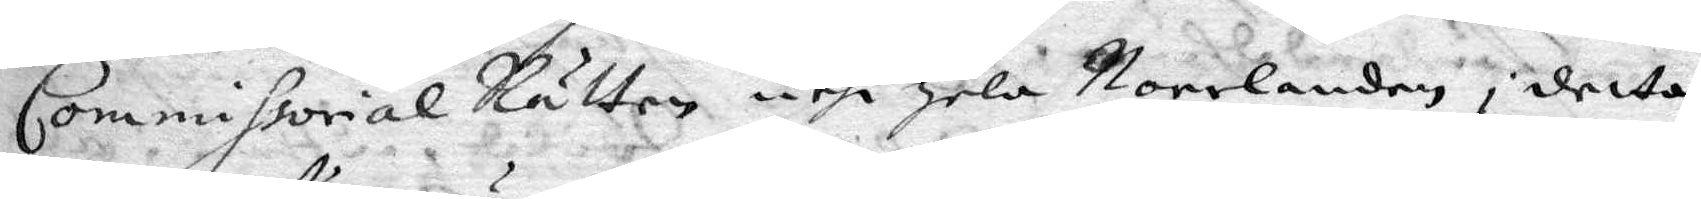Commissorial Rätten uthi hela Norrlanden i detta
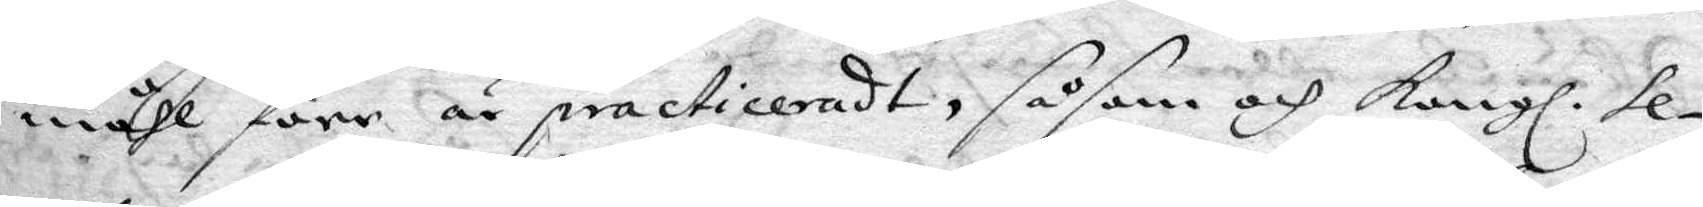måhl förr är practiceradt, såsom och Kongl. se¬
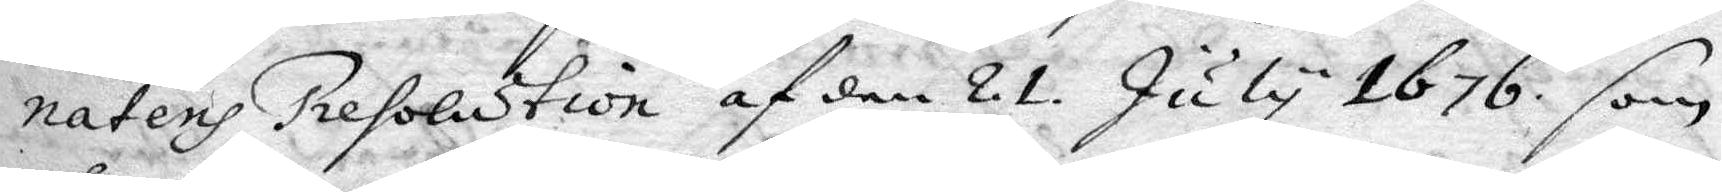natens Presolution af den 21. July 1676 som
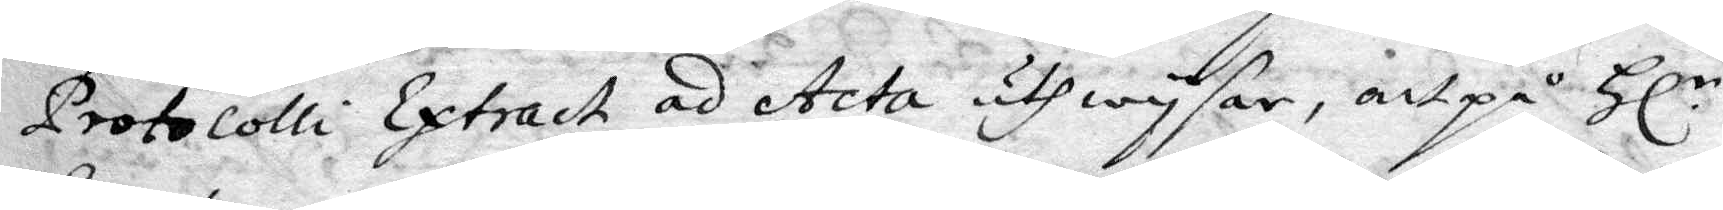Protocolli Extract ad Acta uthwysar, att på Hl.r
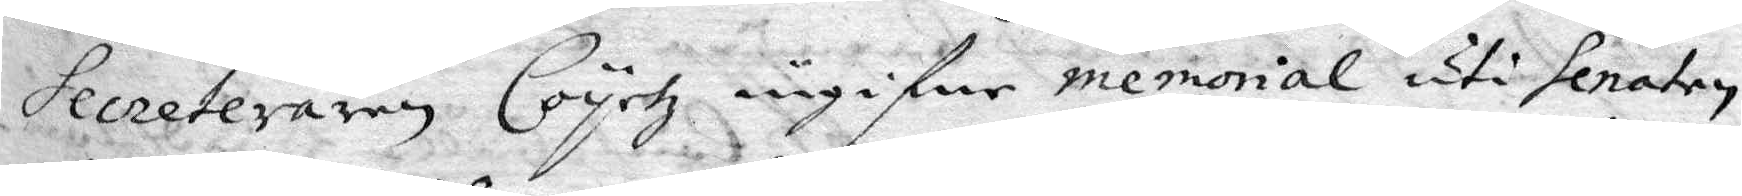Secreteraren Coyetz ingifne memorial uti senaten
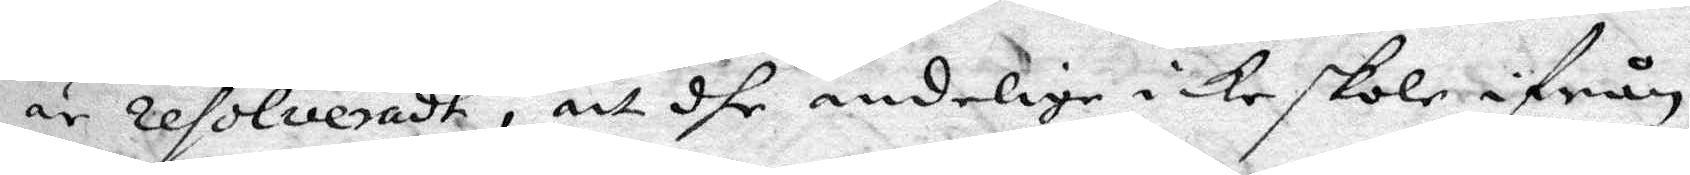är resolveradt, att dhe andelige icke skole ifrån
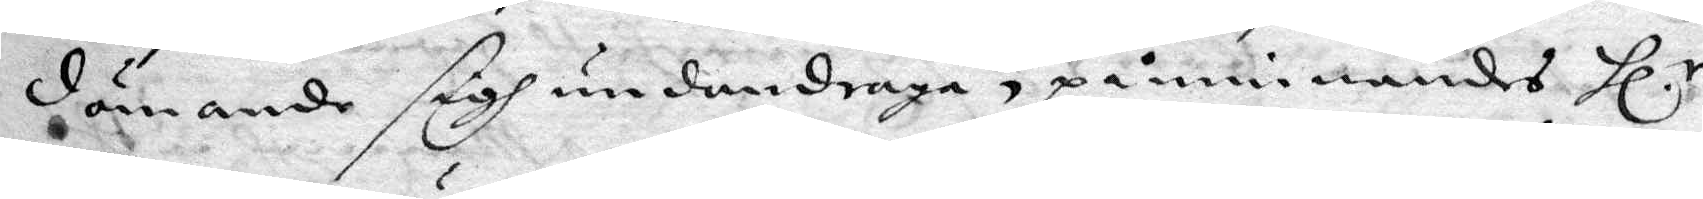dömande sigh undandraga, påminnandes Hl.r
